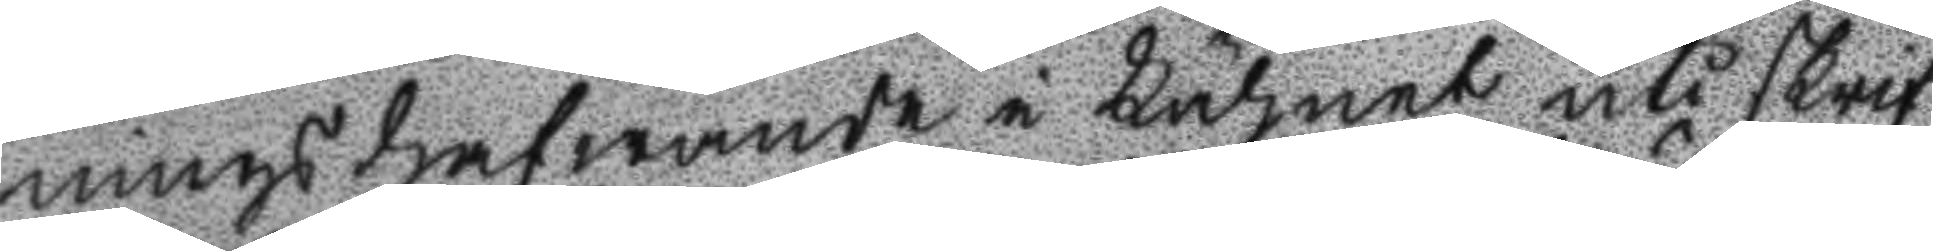nings hafwande i Lähnet uti skrif
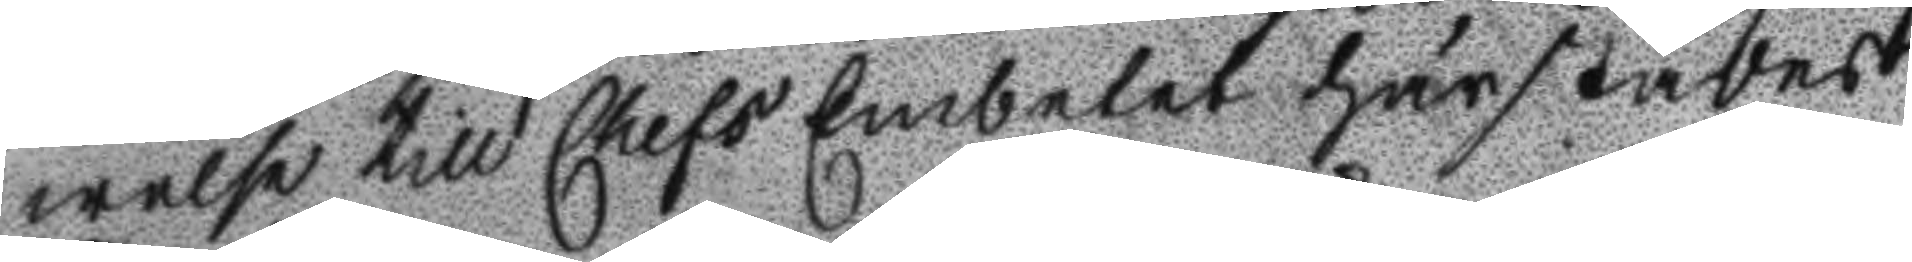welse till Chefs Embetet härstädes
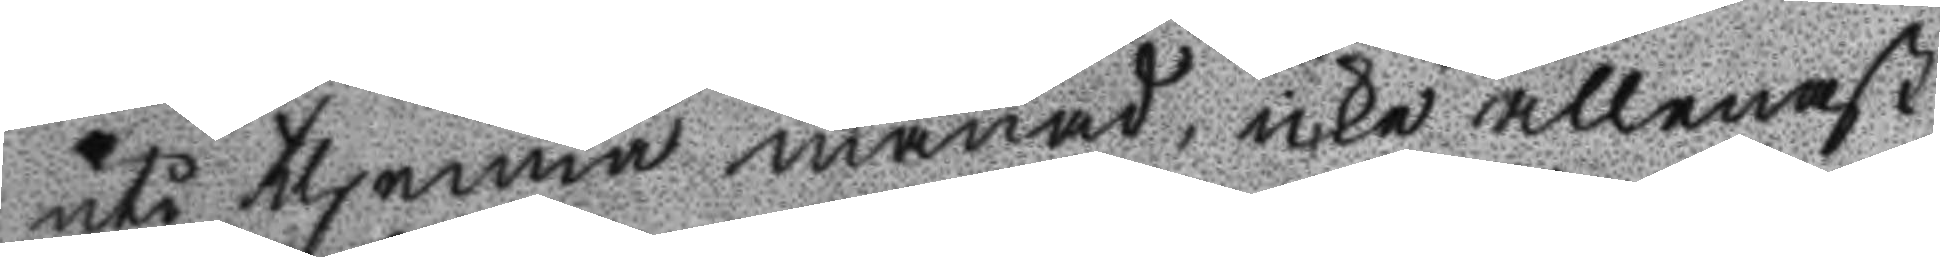uti thenna månad, icke allenast
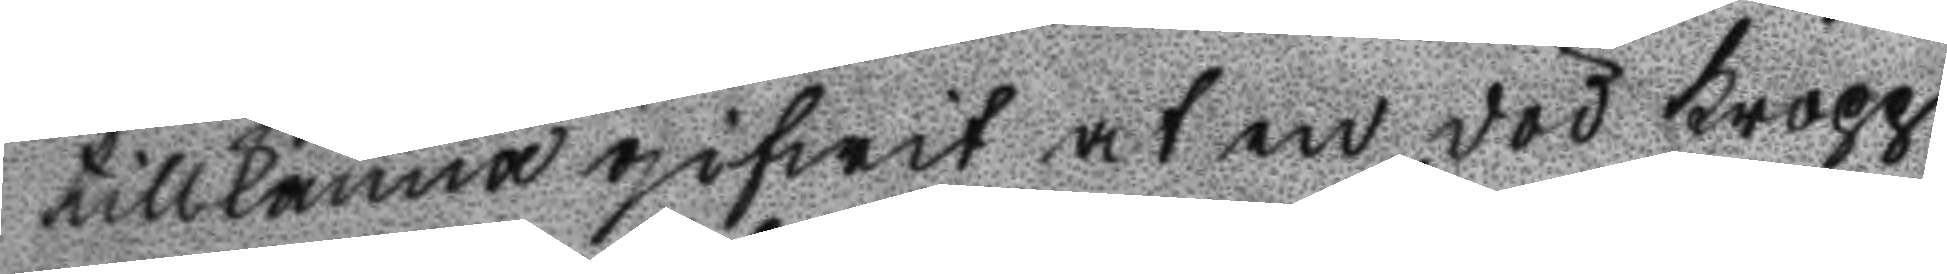tillkänna gifwit at en död kropp
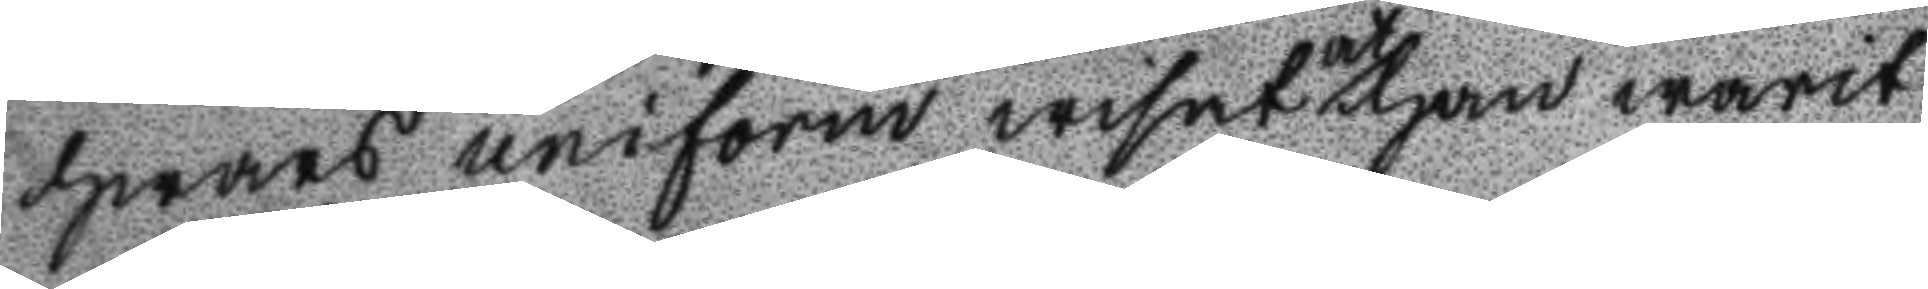hwars uniform wisat at han warit
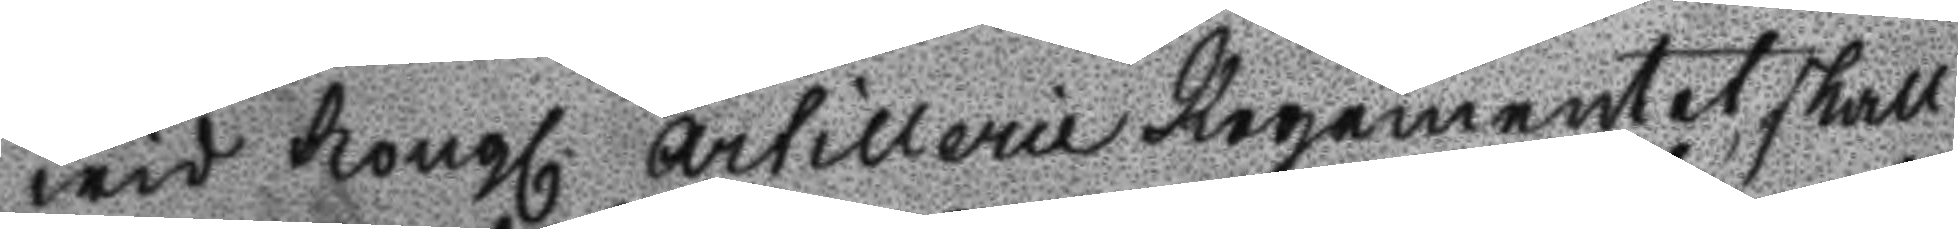wid Kongl. Artillerie Regementet, skall
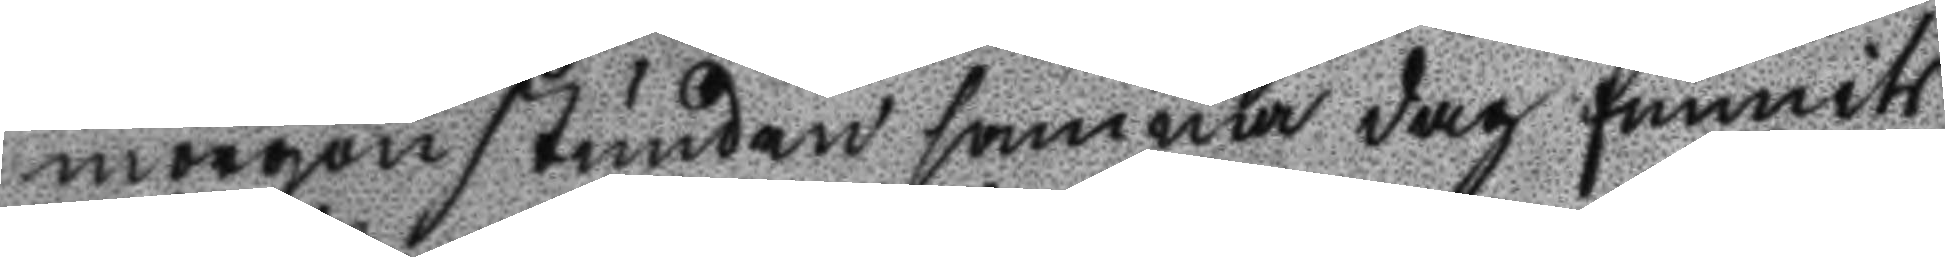morgonstunden samma dag funnits
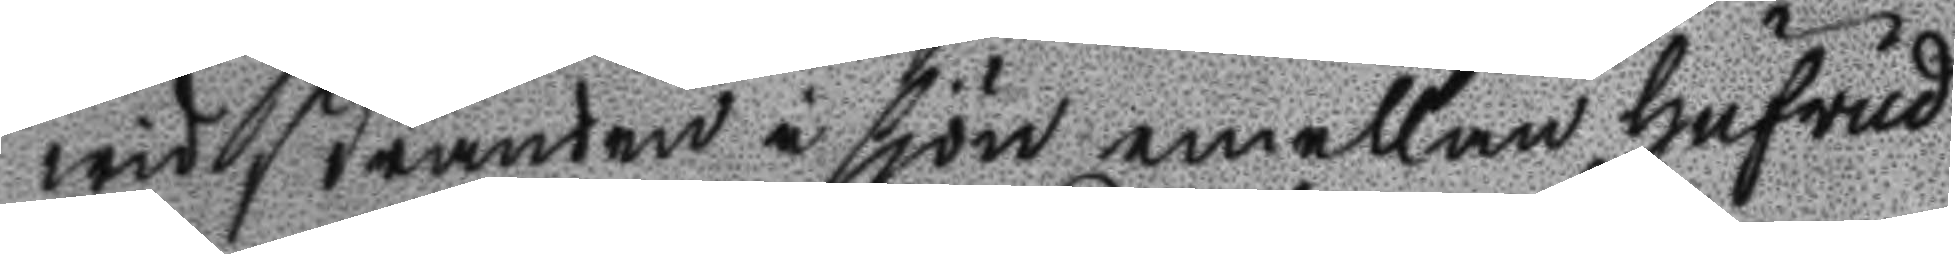wid stranden i sjön emellan Hufvud
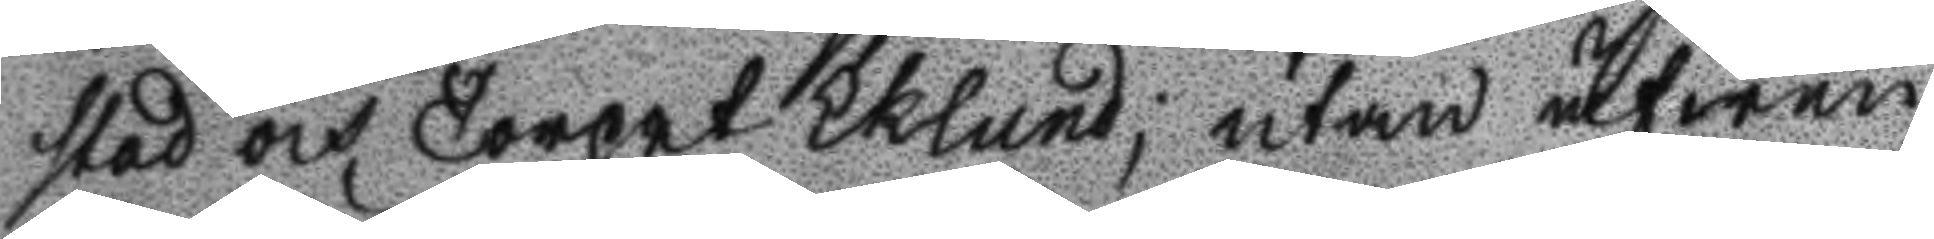stad och Torpet Eklund; utan äfwen
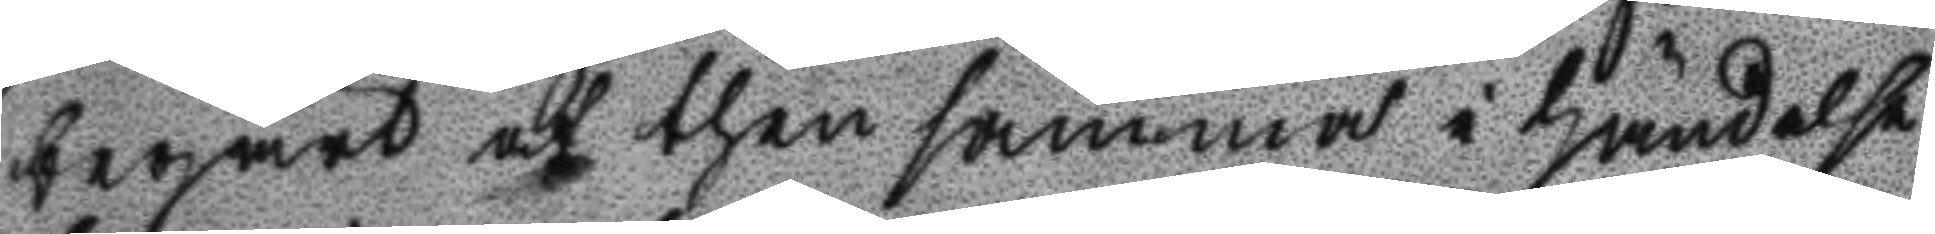begärt at then samma i händelse
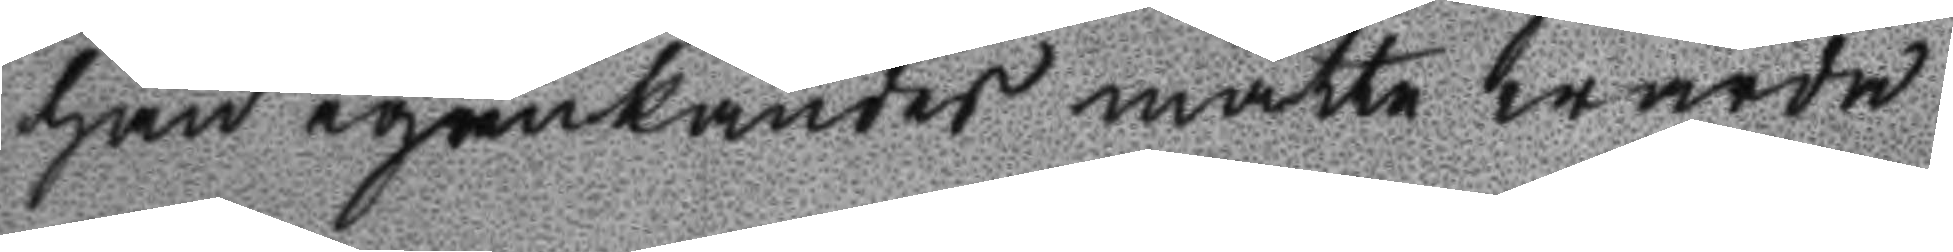han igenkändes måtte warda
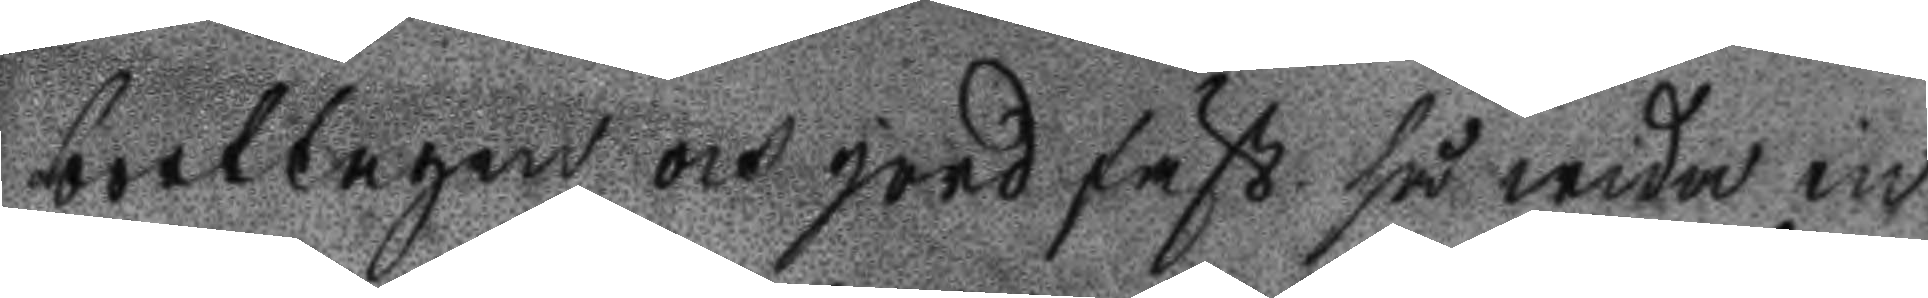borttagen och jordfäst så wida in
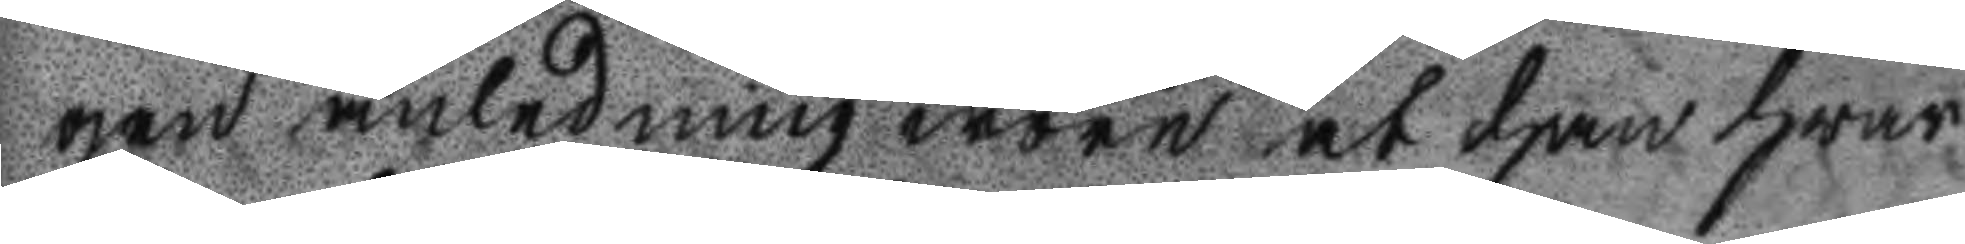gen anlending wore at han hwar
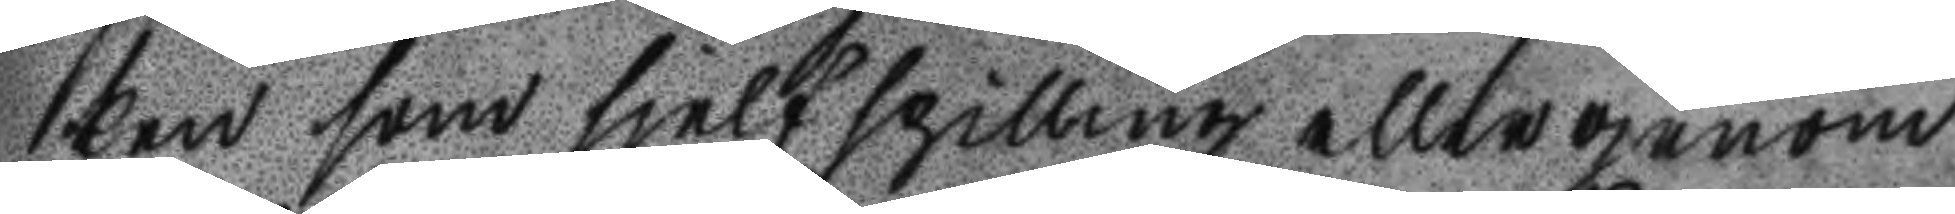ken som sjelfspilling eller genom
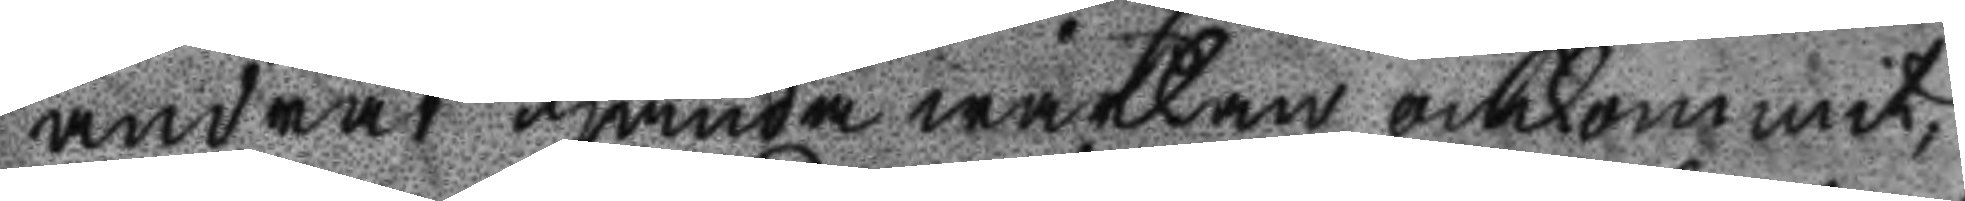andras handa wärkan omkommit, 
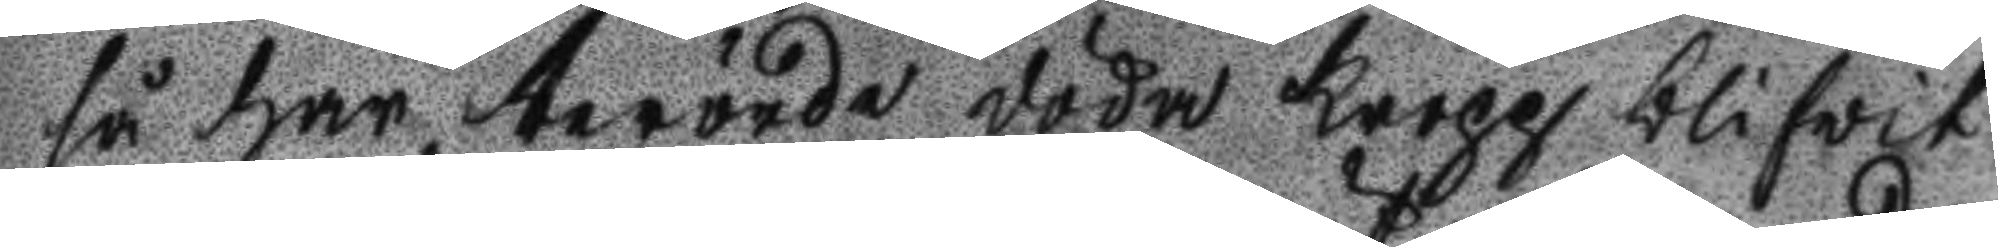så har berörde döda kropp blifwit
